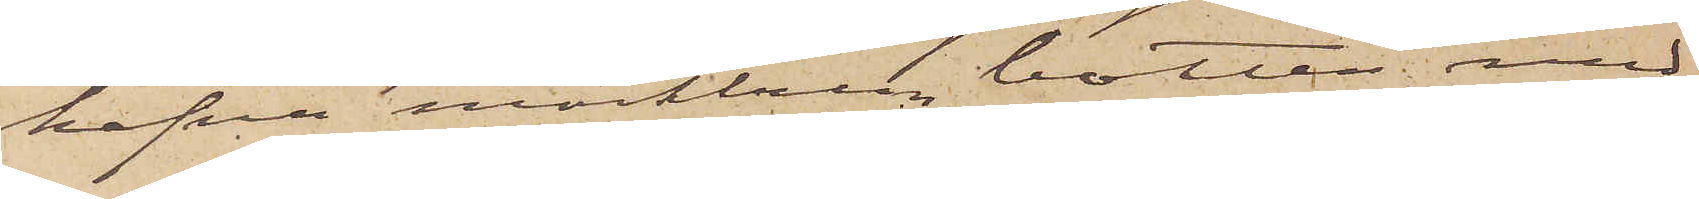hafva mörkbrun botten med
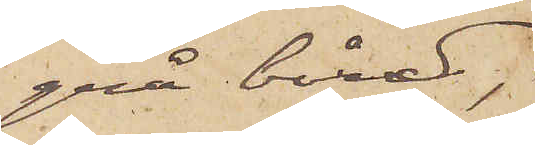grå bård,
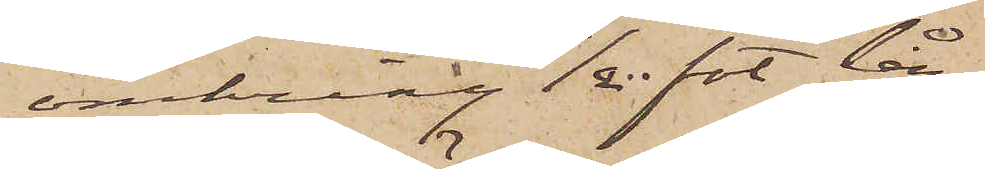omkring 1/2 fot lån¬
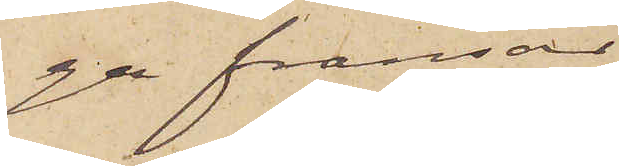ga fransar
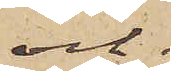och
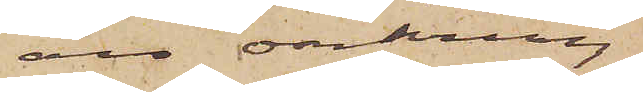äro omkring
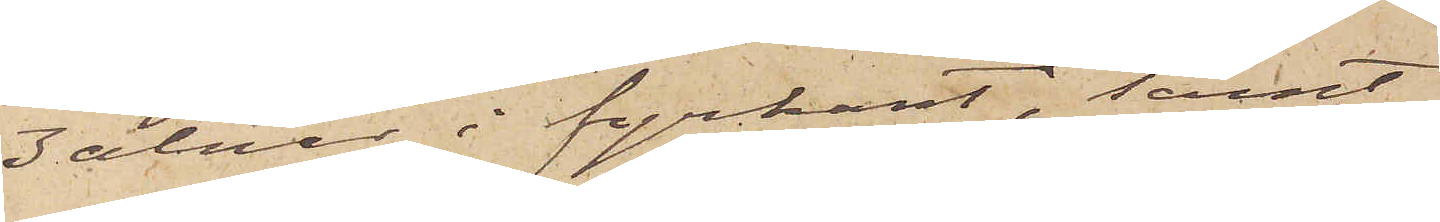3 alnar i fyrkant, samt
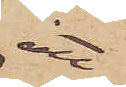att
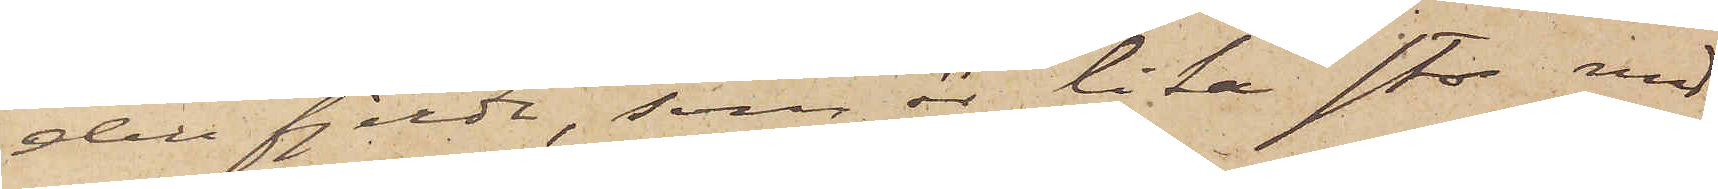den fjerde, som är lika stor med
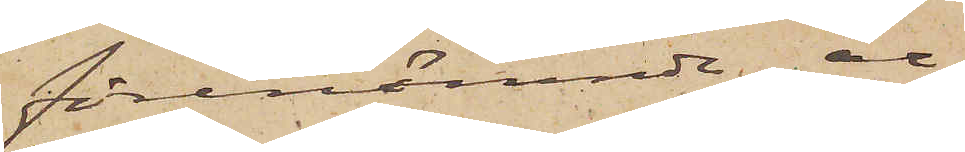förenämnde, är
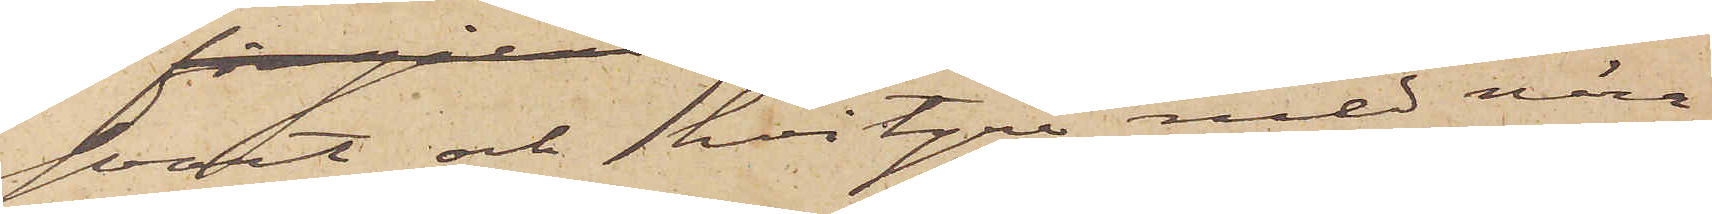svart och hvitgrå med nära
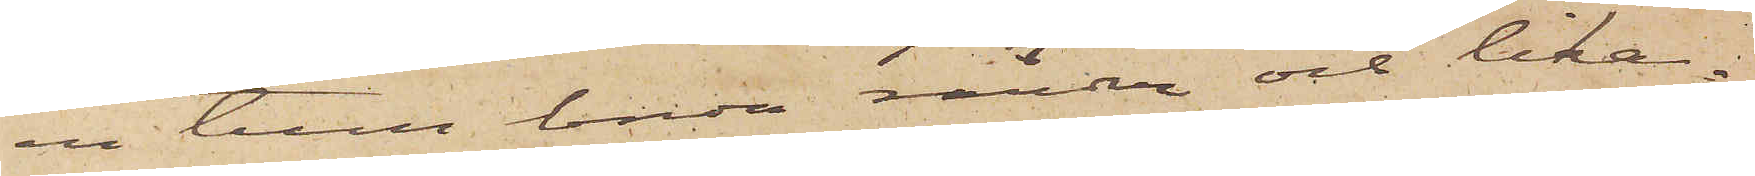en tum breda ränder och lika¬
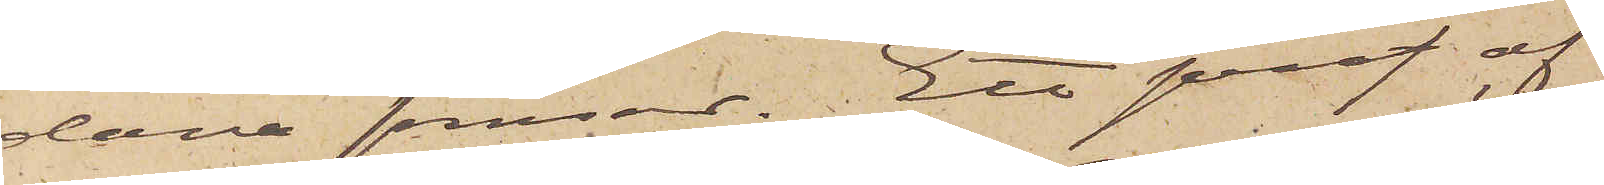dana fransar. Ett prof af
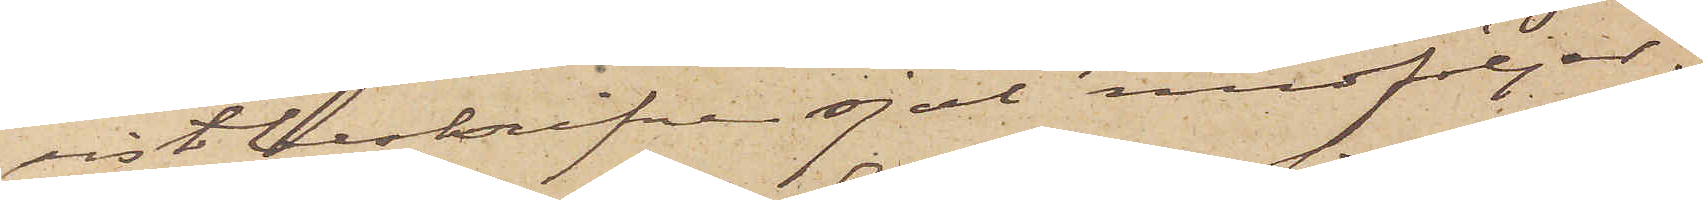sistbeskrifvna sjal medföljer.
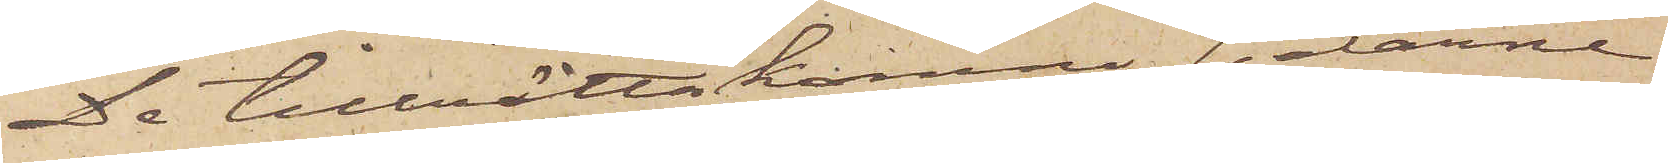De tillrättakomne sjalarne
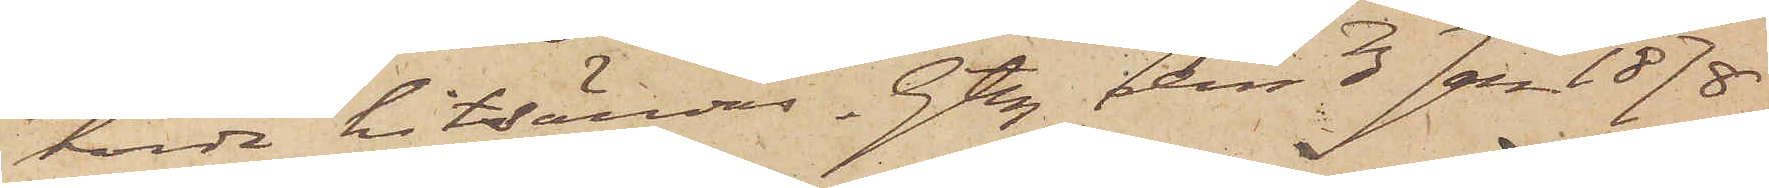torde hitsändes. Gtbg den 3 Jan 1878.
